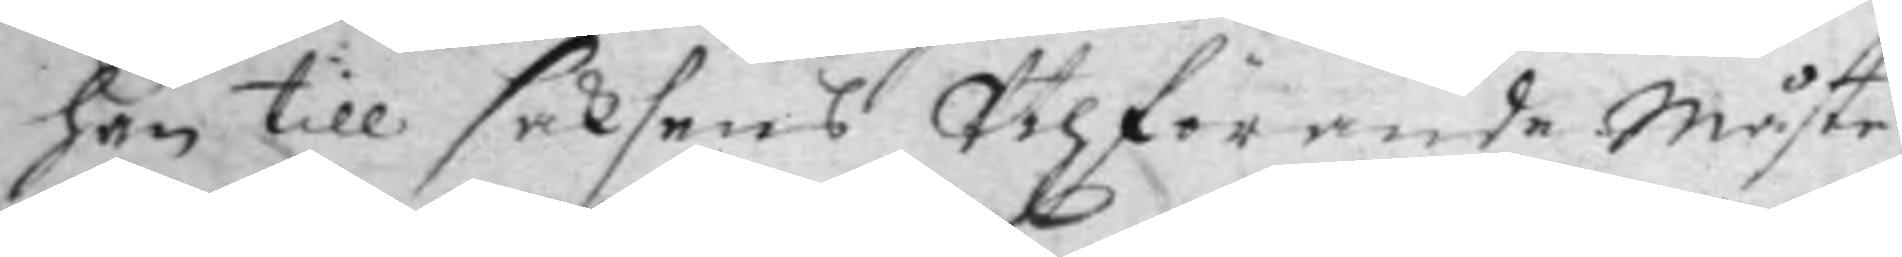han till sakens uthförande måste
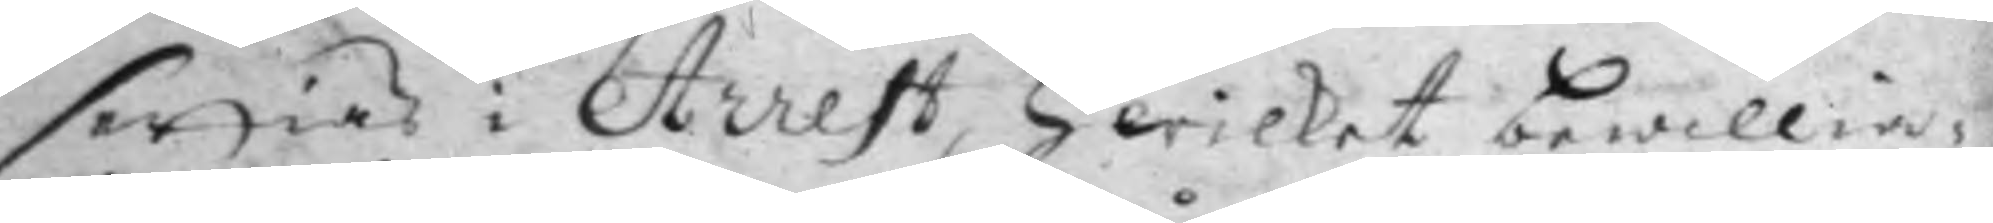setties i Arrest, Hwilket bewillia¬
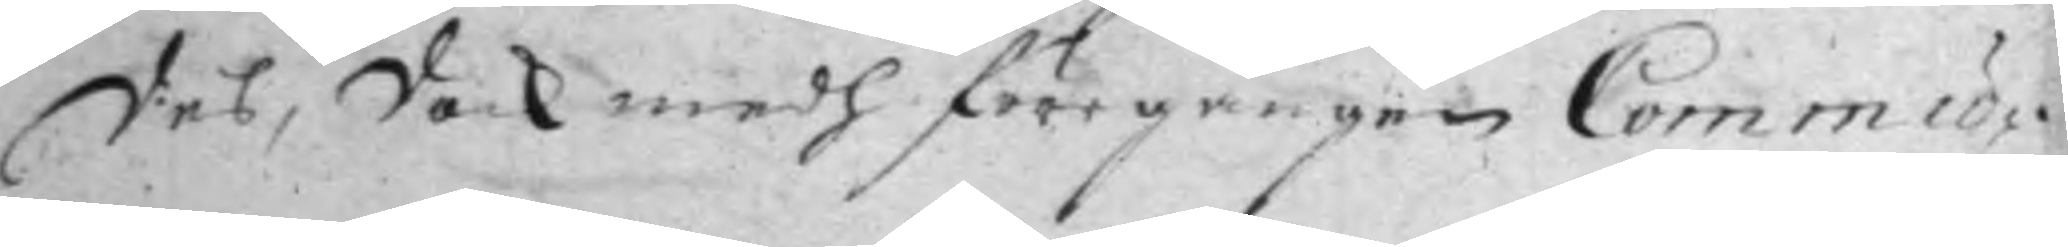des, dock medh föregången Commu¬
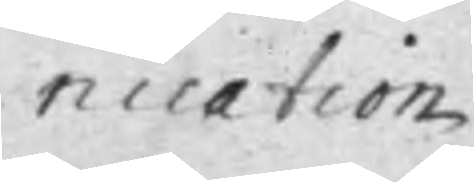nication
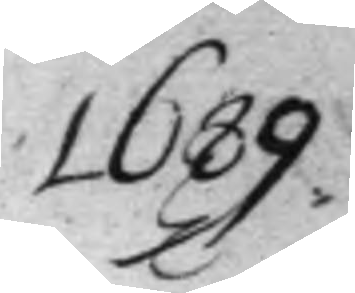1689
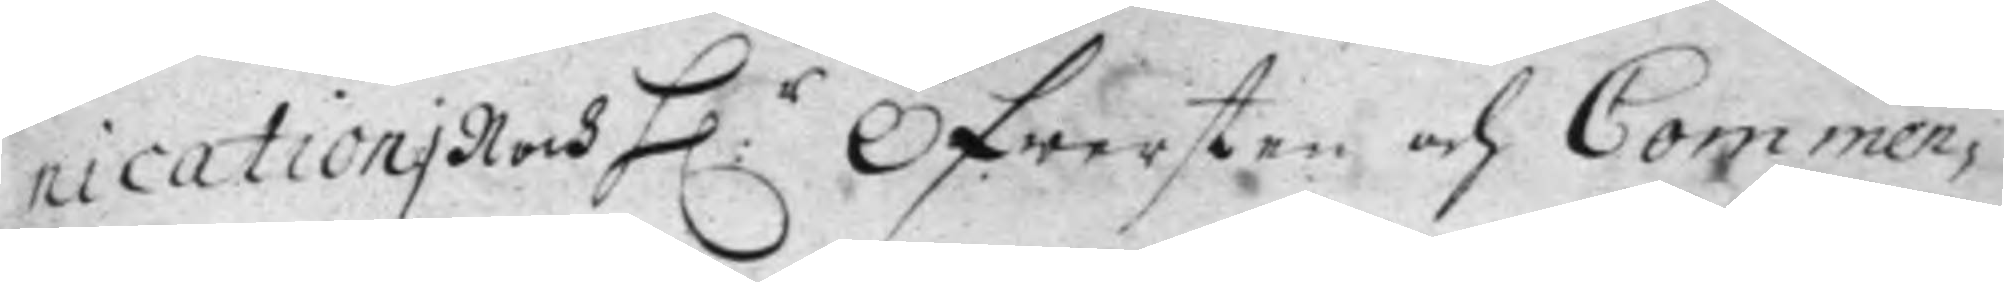nicationi noch H:r Öfwersten och Commen¬
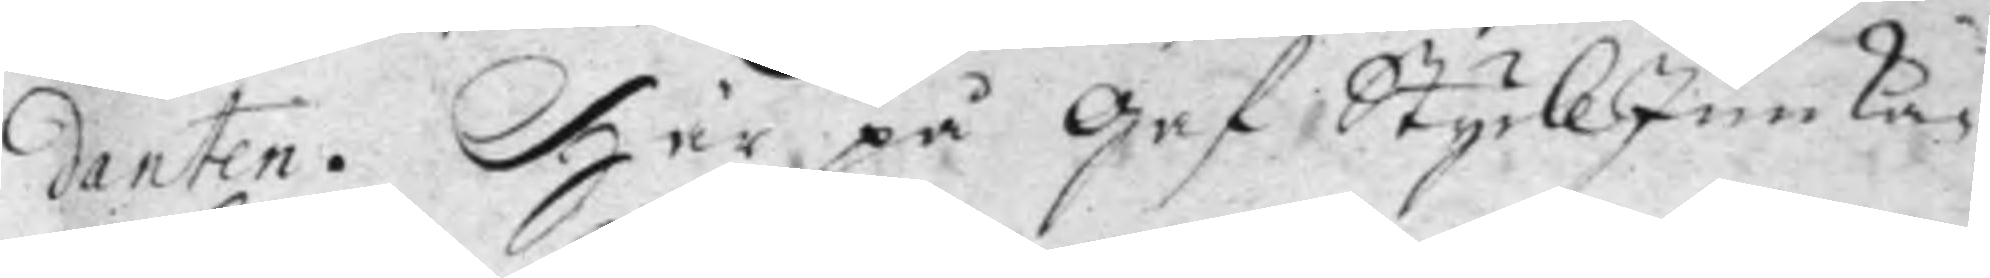danten. Här på gaf StyckJunka¬
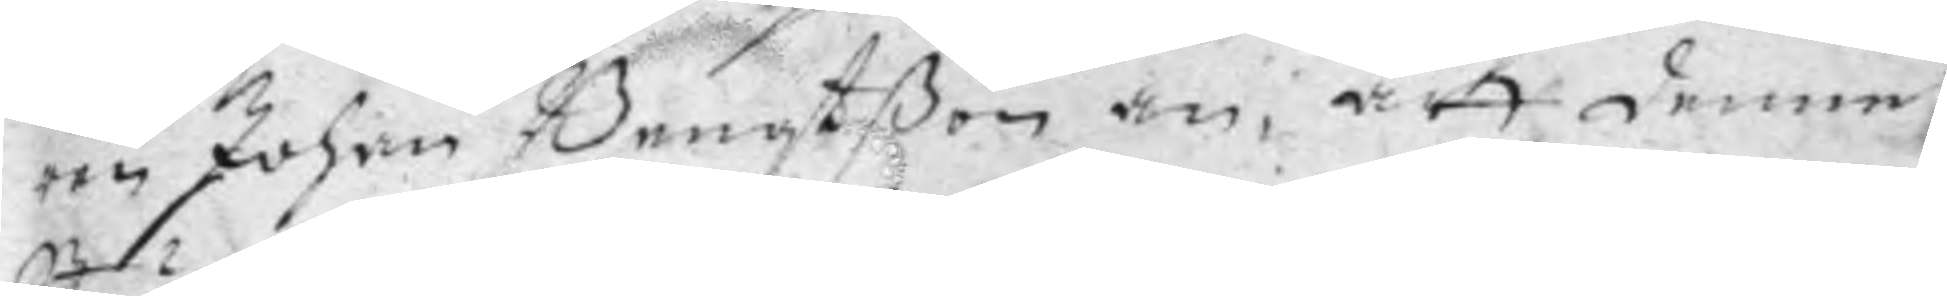ren Johan Bengtßon an, att denne
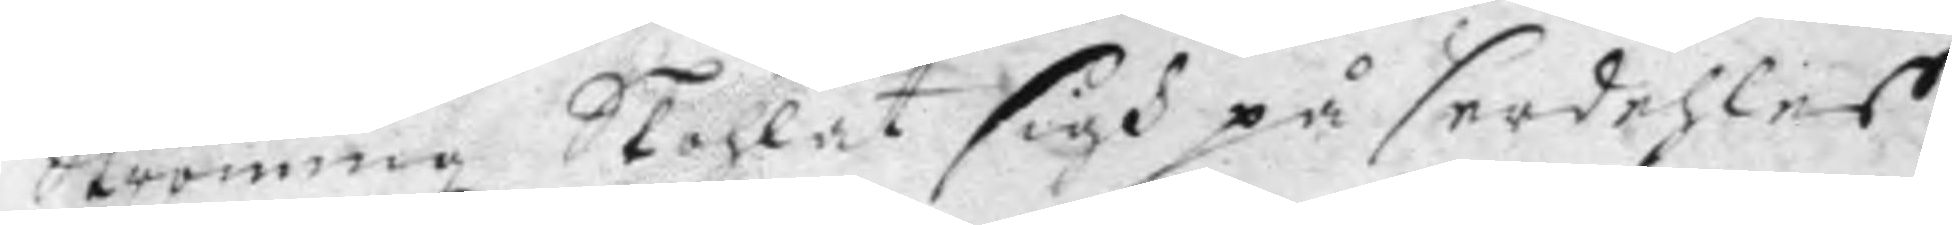Ströming Skohlat sigh på serdehles
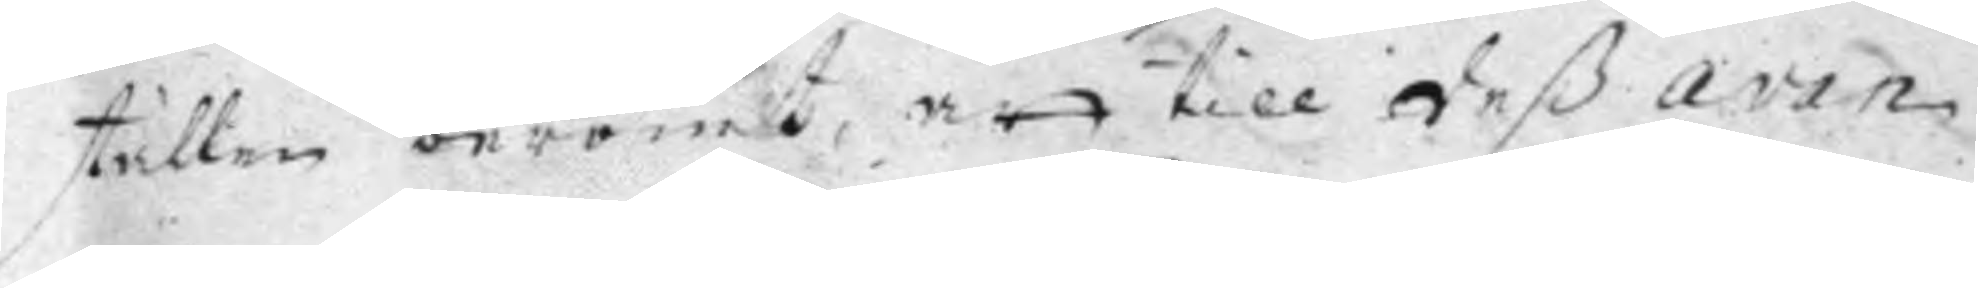ställen berömt att till deß avan¬
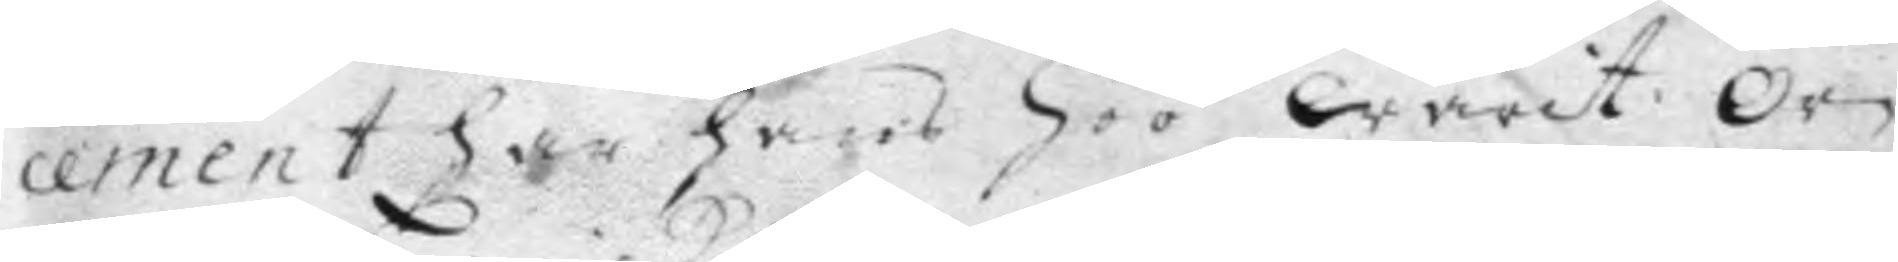cement har hans höö warit Or¬
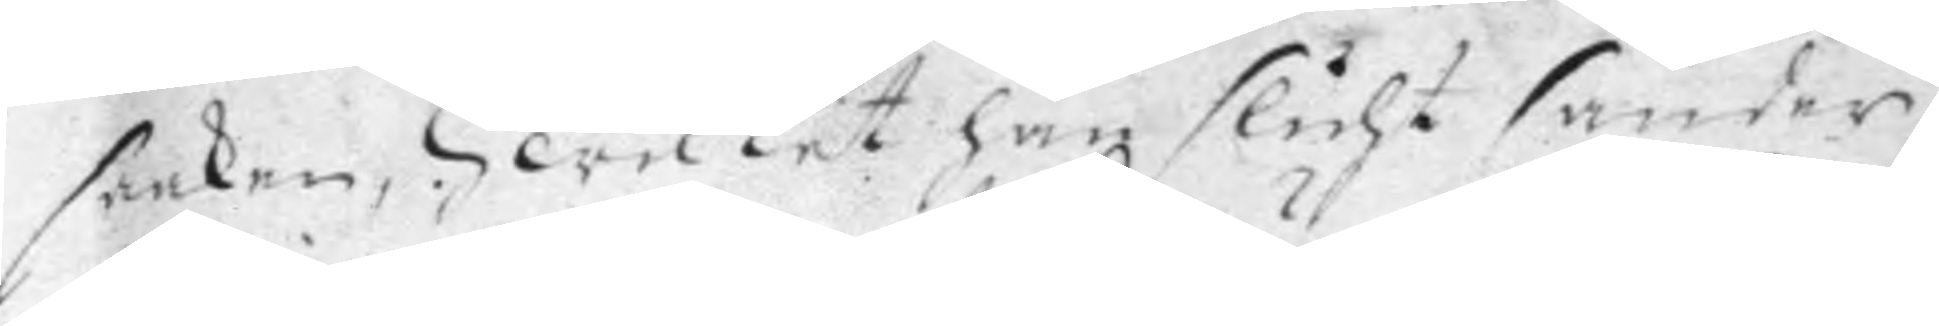saaken, Hwilket han slicht sänder
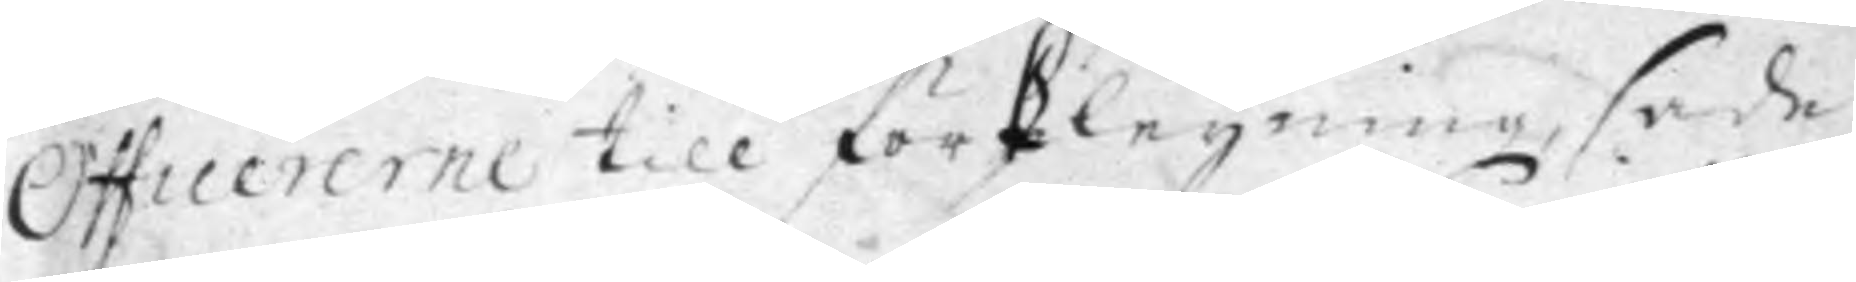Officererne till förkleyning, sade 
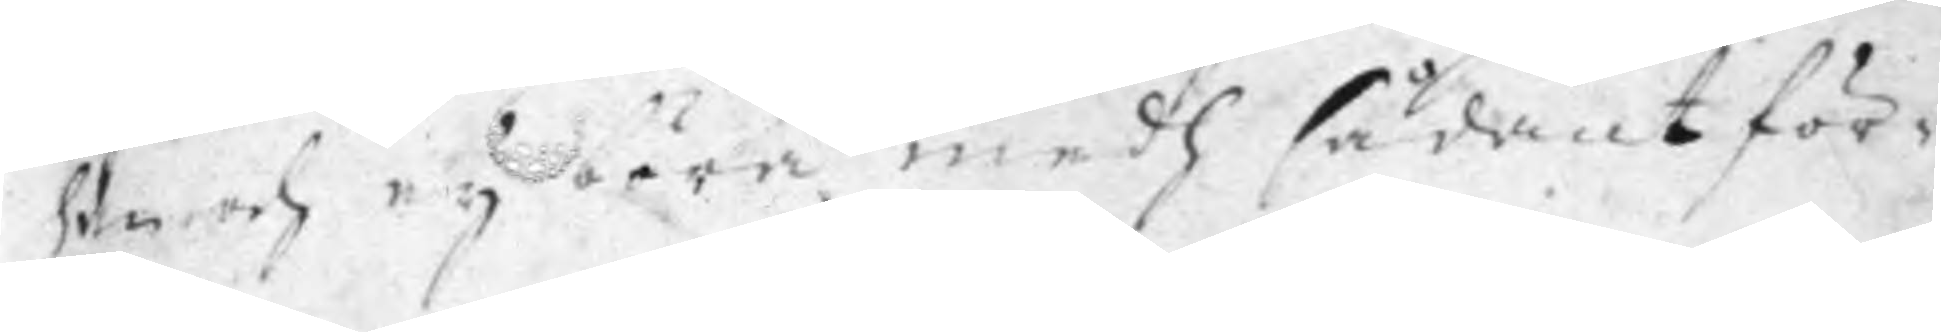han och ey böra medh sådant för¬
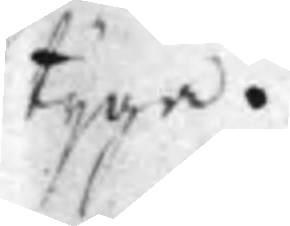tyga.
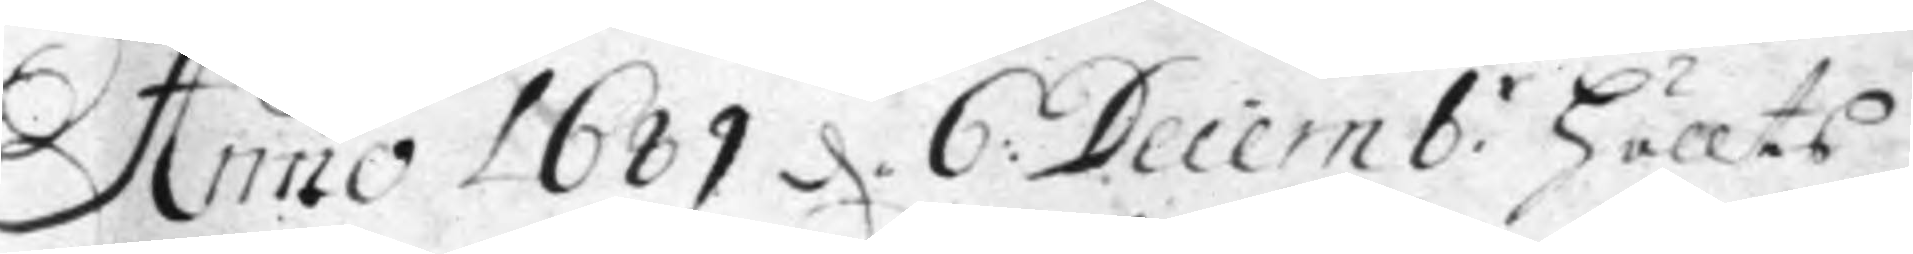Anno 1689 d. 6: Decemb:r Höllts
